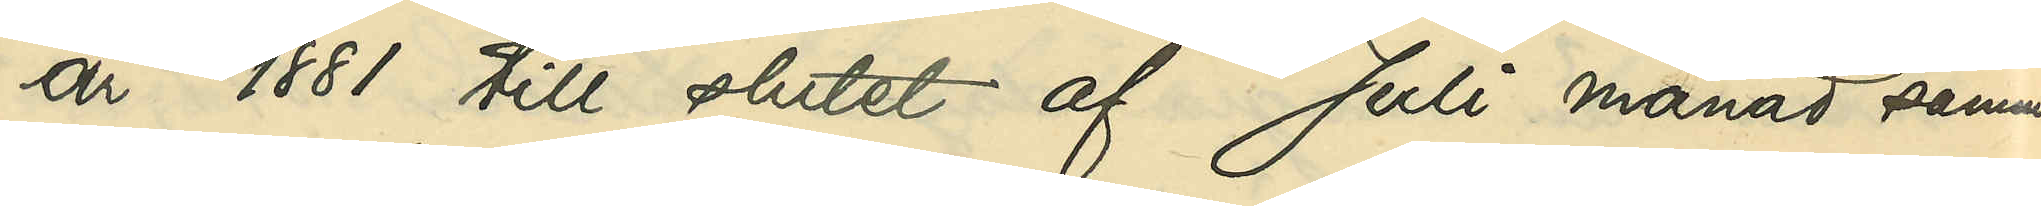år 1881 till slutet af Juli månad samma
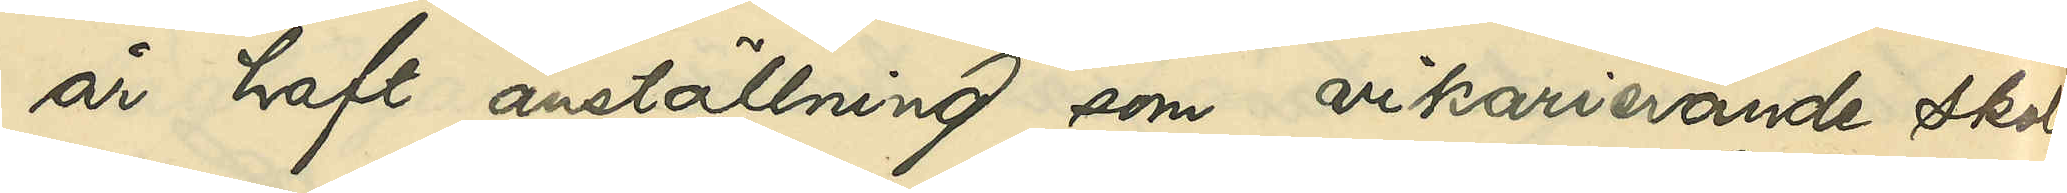år haft anställning som vikarierande skol¬
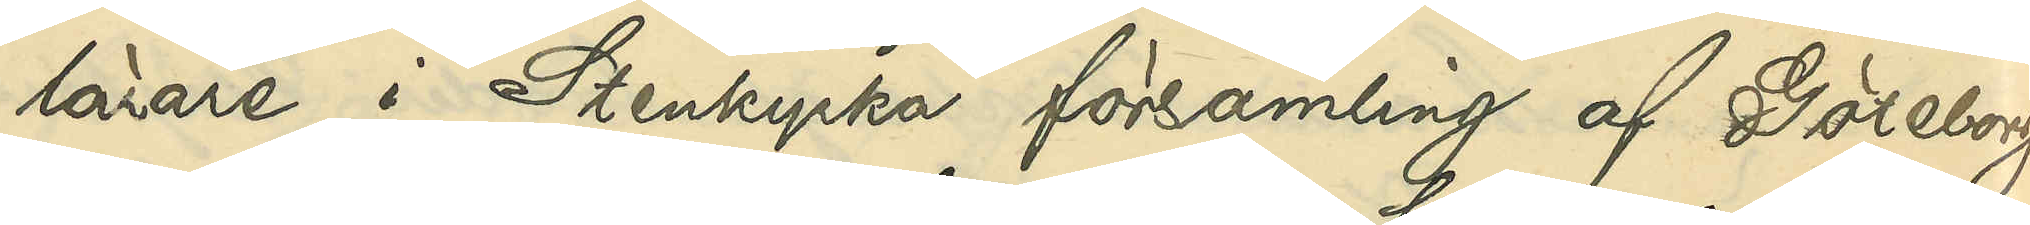lärare i Stenkyrka församling af Göteborgs
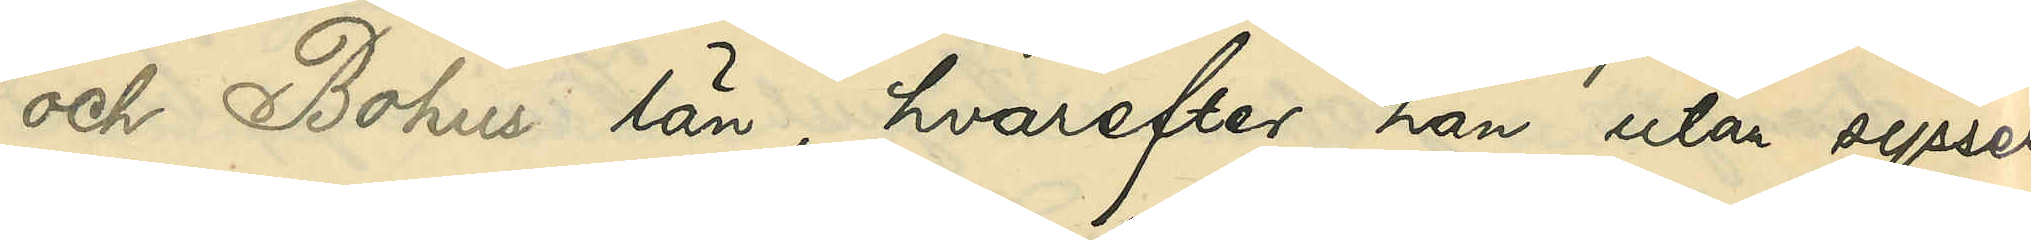och Bohuslän, hvarefter han utan syssel¬
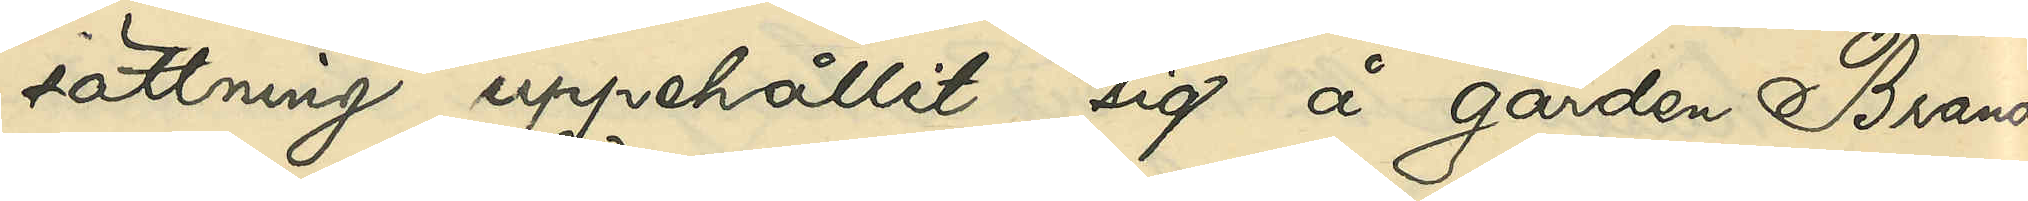sättning uppehållit sig å gården Brandt¬
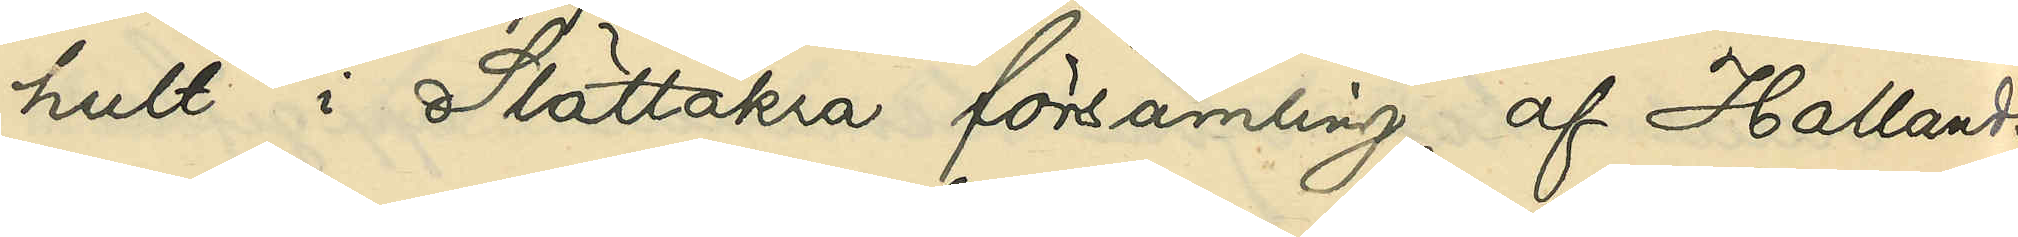hult i Slättåkra församling af Hallands
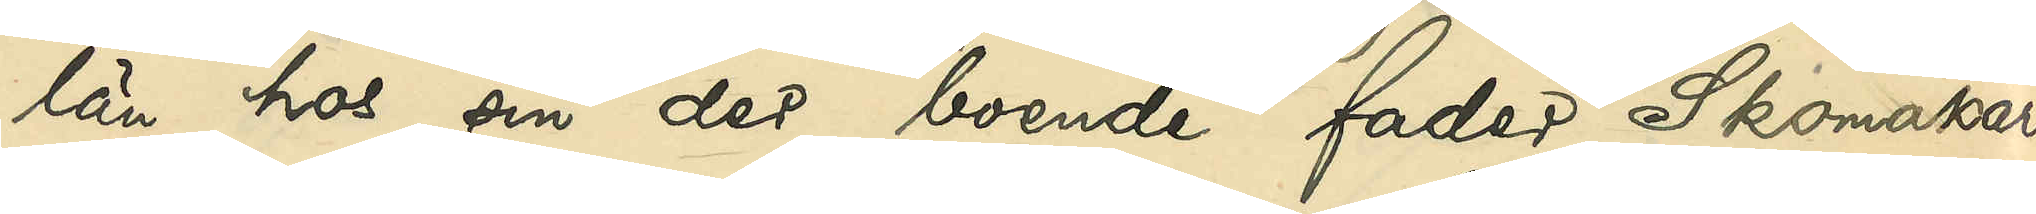län hos sin der boende fader, Skomakaren
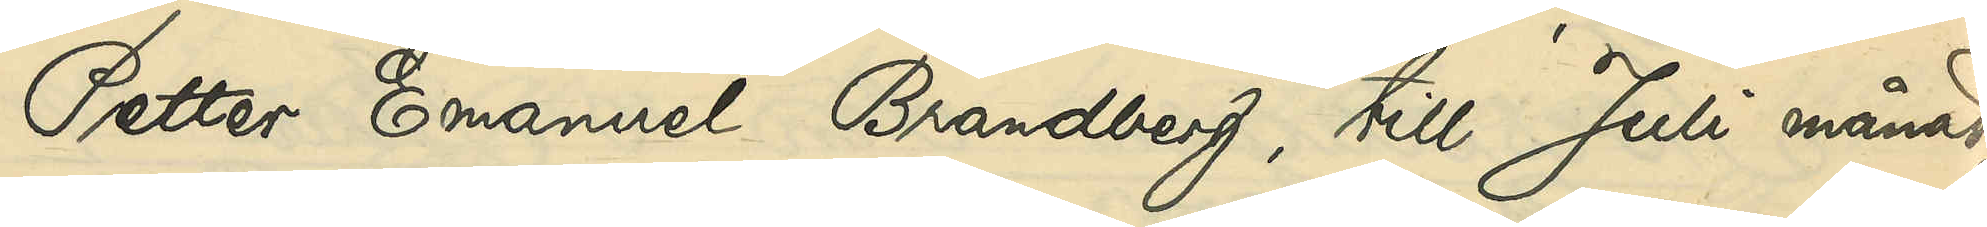Petter Emanuel Brandberg, till Juli månad
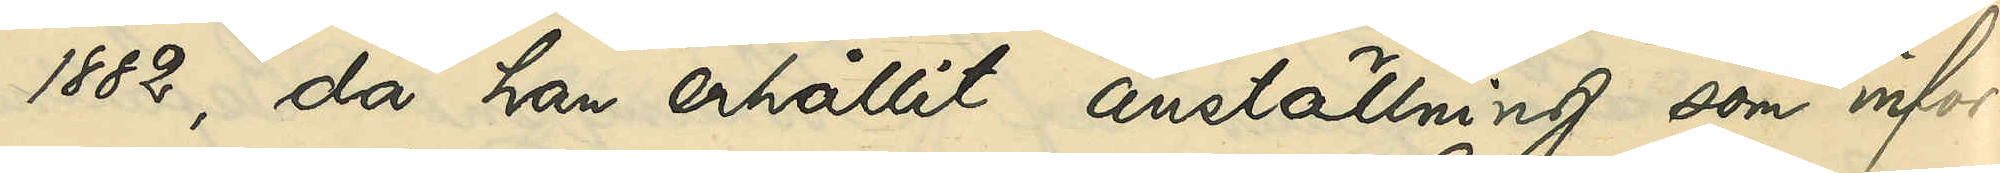1882, då han erhållit anställning som infor¬
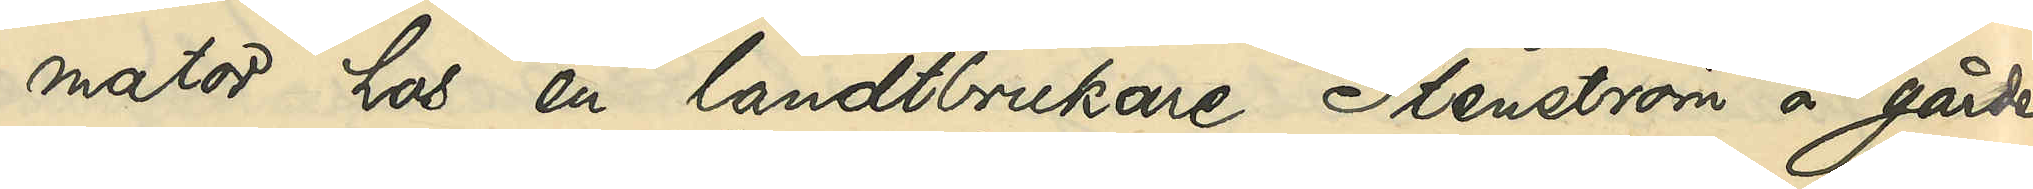mator hos en landtbrukare Stenström å gården
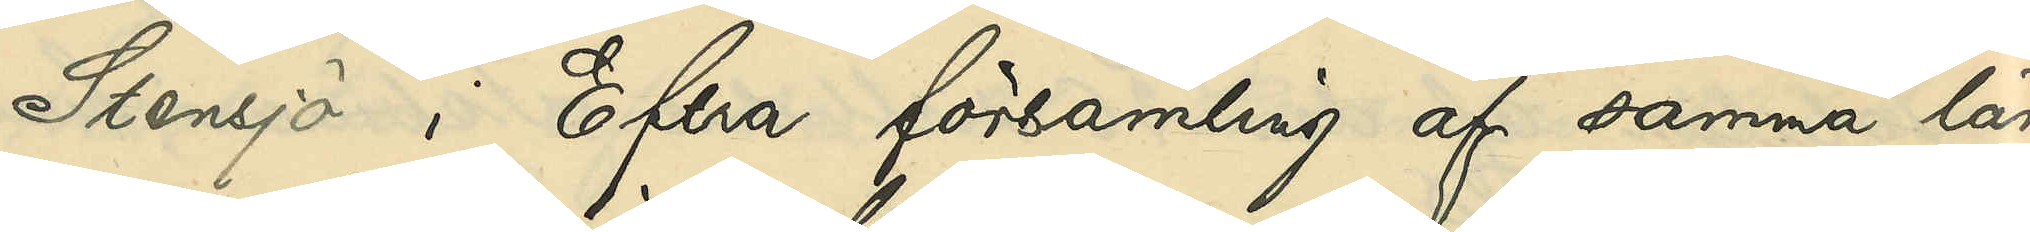Stensjö i Eftra församling af samma län;
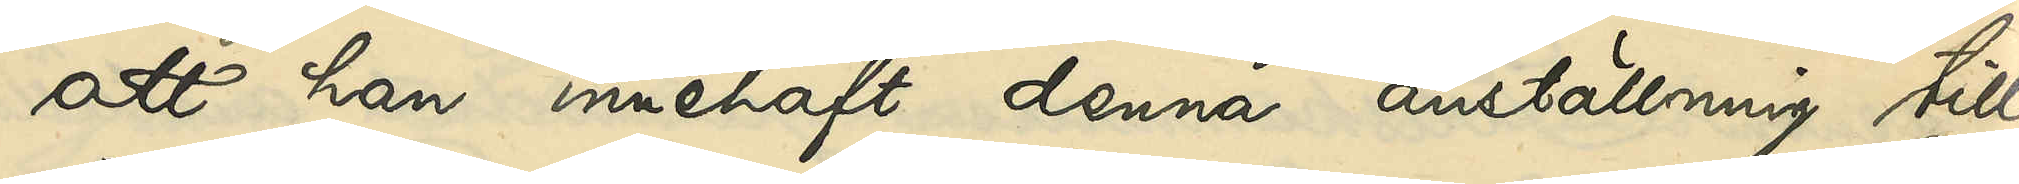att han innehaft denna anställning till
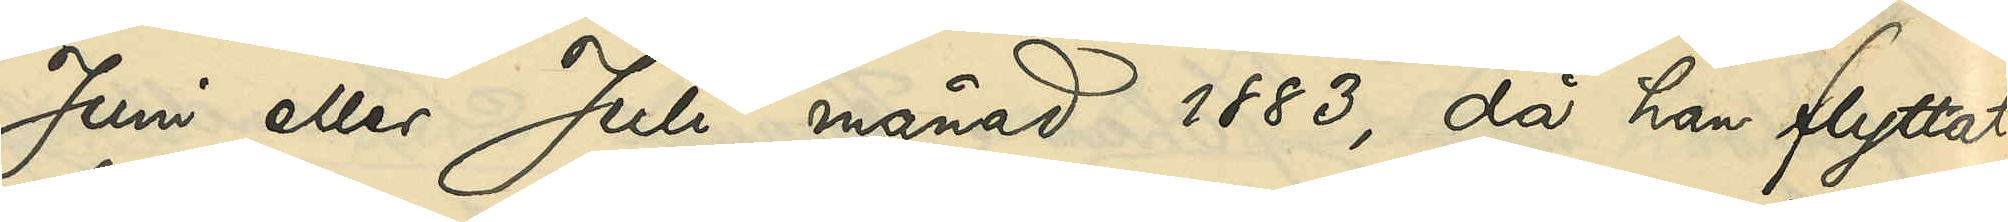Juni eller Juli månad 1883, då han flyttat
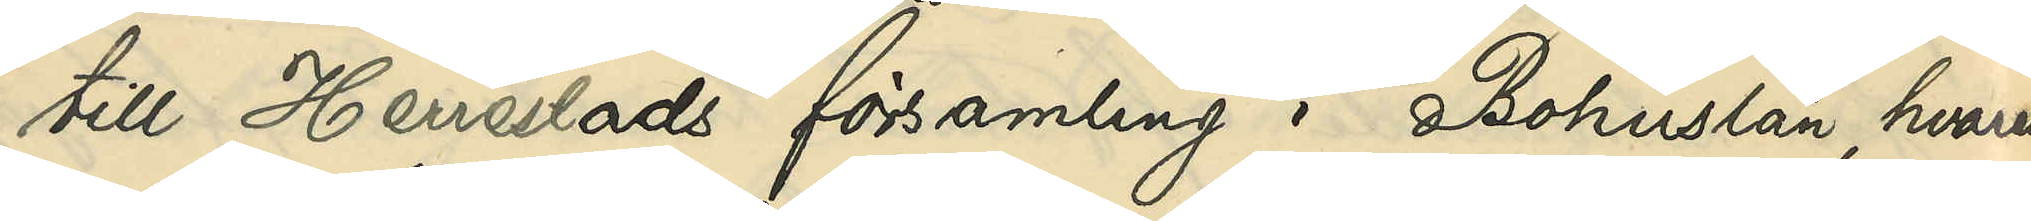till Herrestads församling i Bohuslän, hvarest
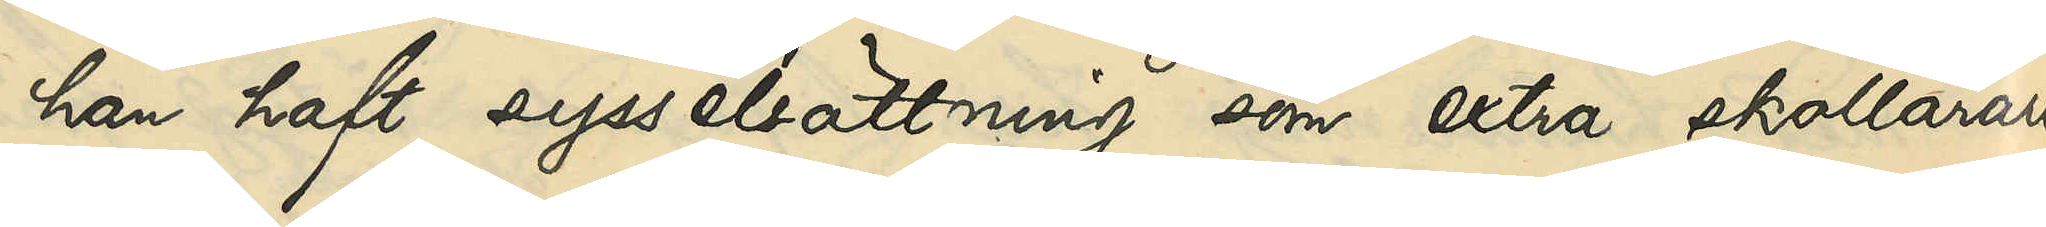han haft sysselsättning som extra skollärare
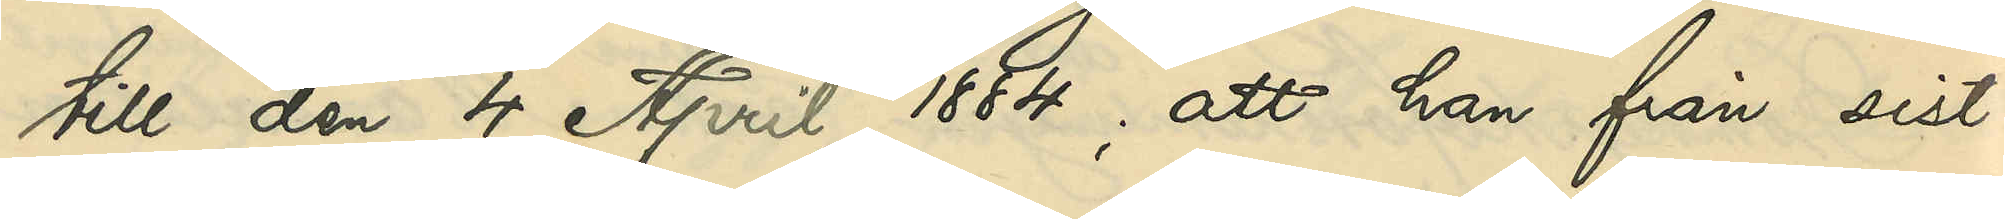till den 4 April 1884; att han från sist¬
